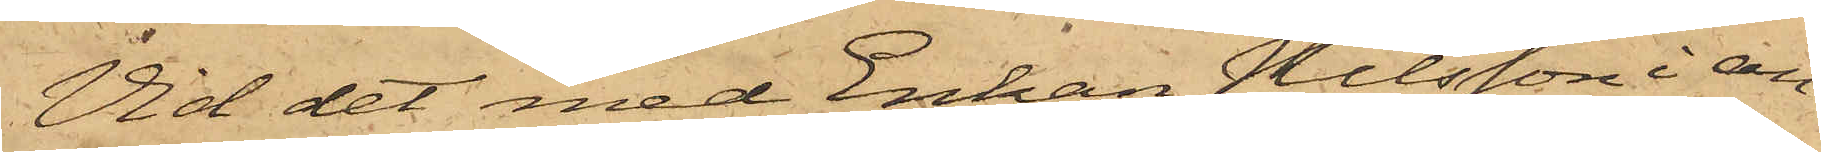Vid det med Enkan Nilsson i an¬
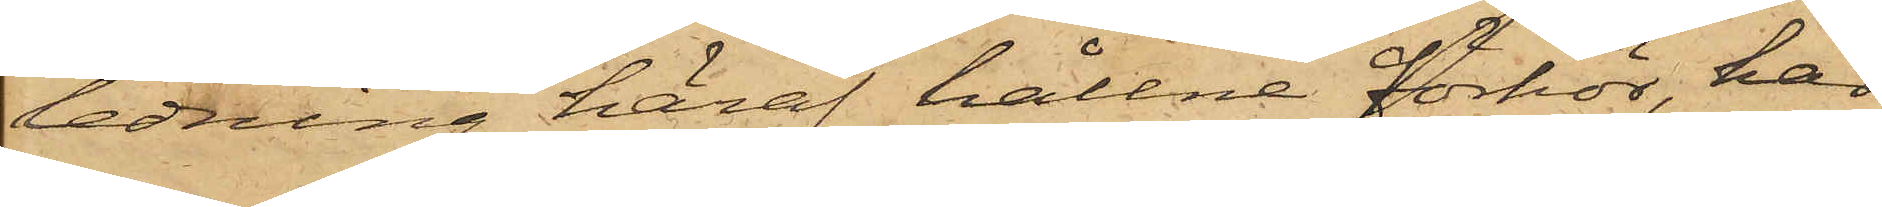ledning häraf hållne förhör, har
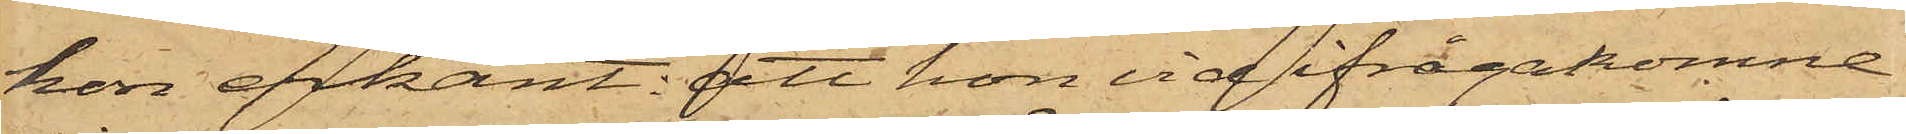hon erkänt; att hon vid ifrågakomne
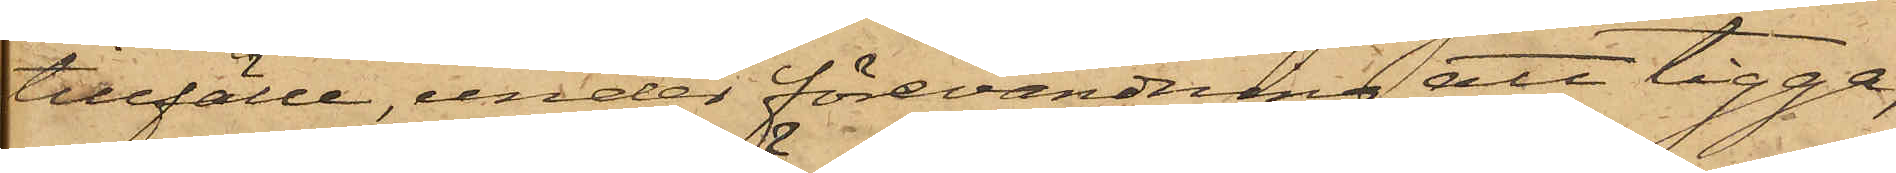tillfälle, under förevändning att tigga,
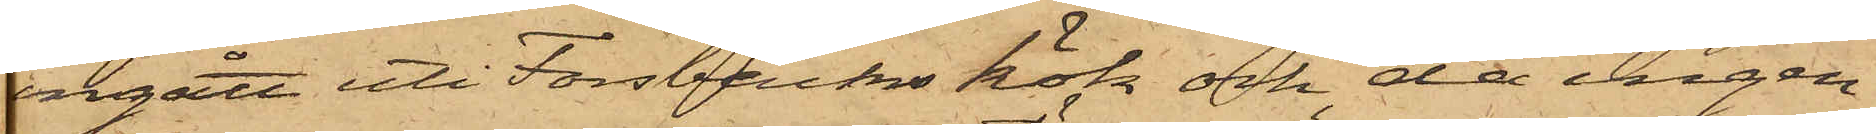ingått uti Forsbäcks kök och, då ingen
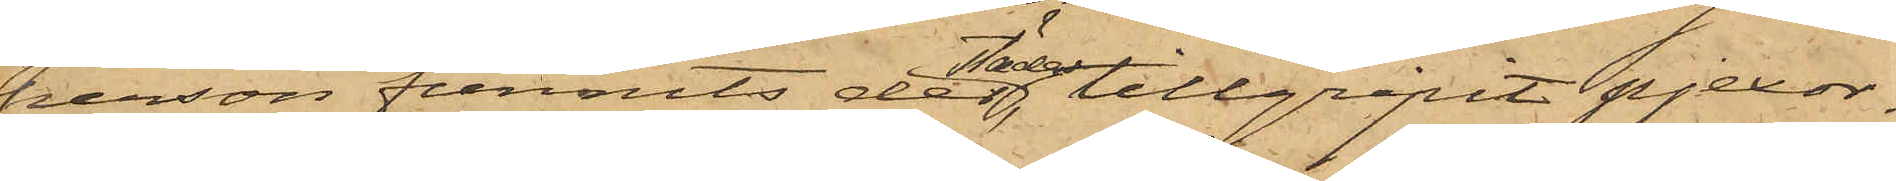person funnits derstädes, tillgripit pjexor¬
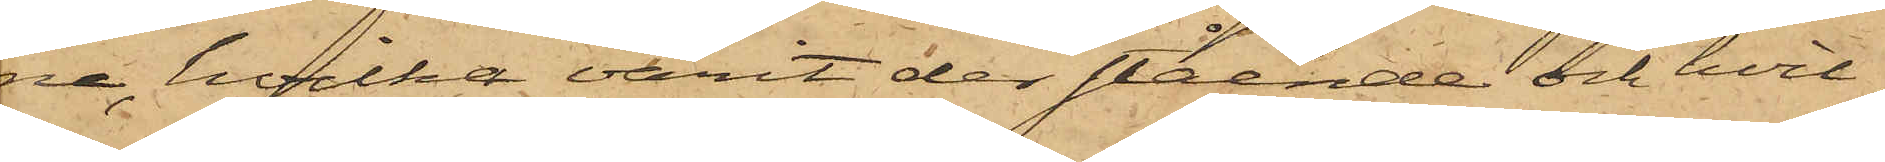na, hvilka varit der stående och hvil¬
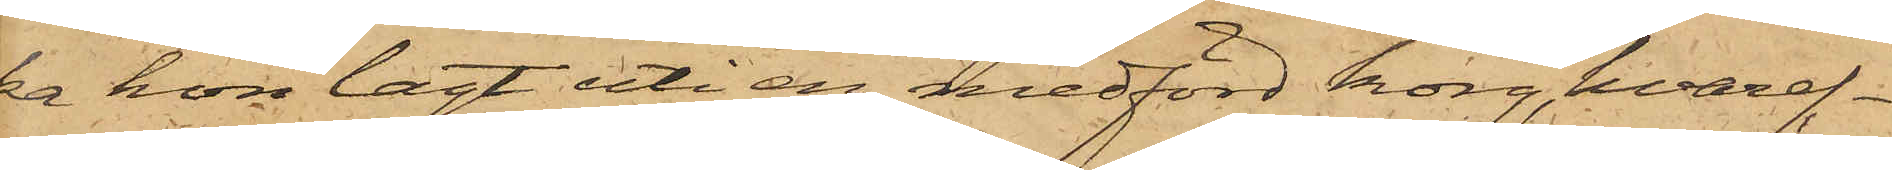ka hon lagt uti en medförd korg, hvaref¬
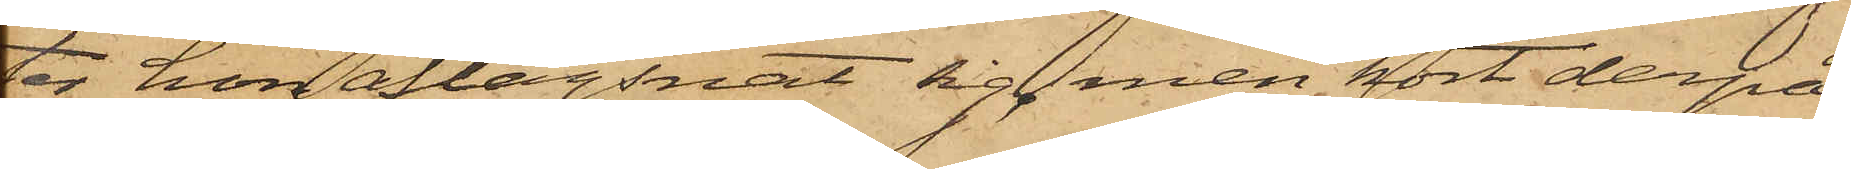ter hon aflägsnat sig, men kort derpå
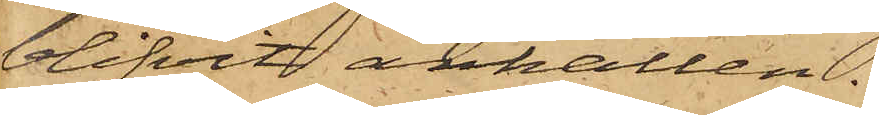blifvit anhållen.
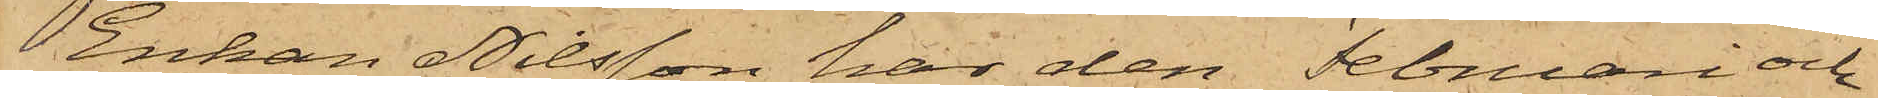Enkan Nilsson har den Februari och
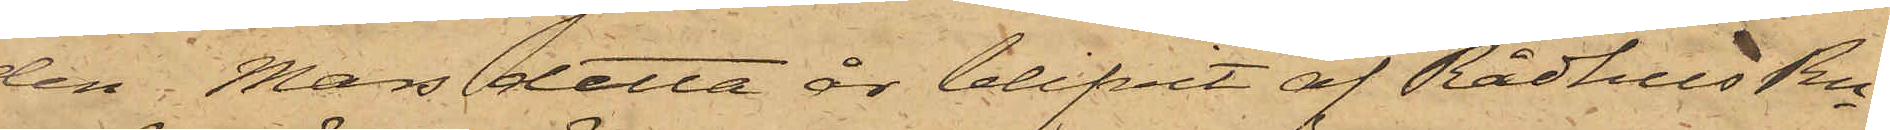den    Mars detta år blifvit af RådhusRn
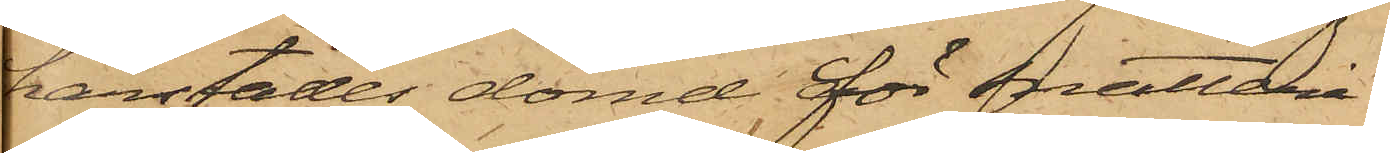härstädes dömd för snatteri.
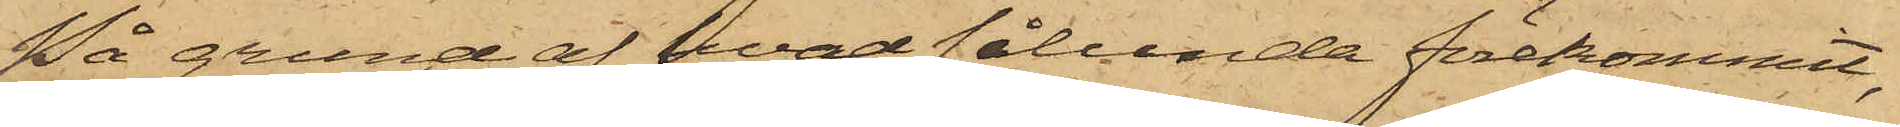På grund af hvad sålunda förekommit,
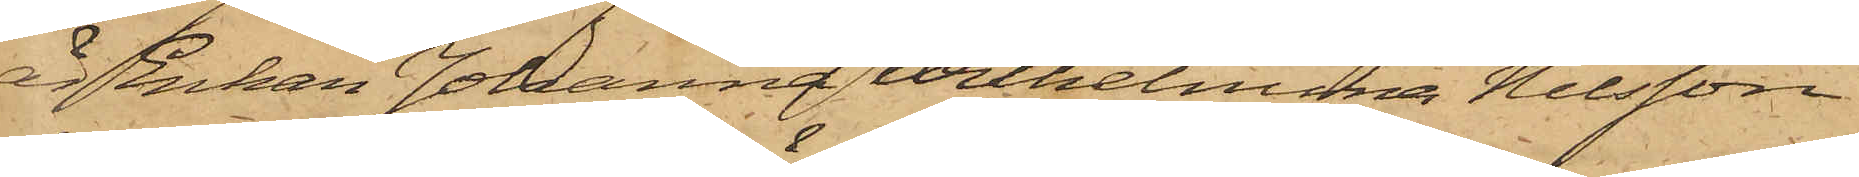är Enkan Johanna Wilhelmina Nilsson
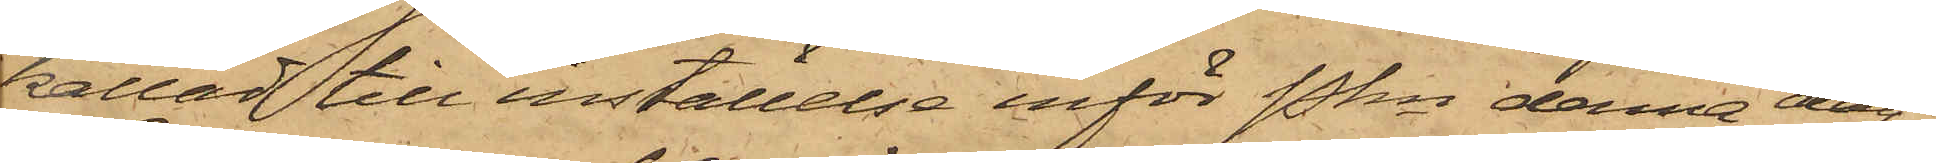kallad till inställelse inför Pkn dena dag.
